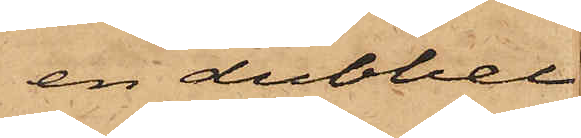en dubbel
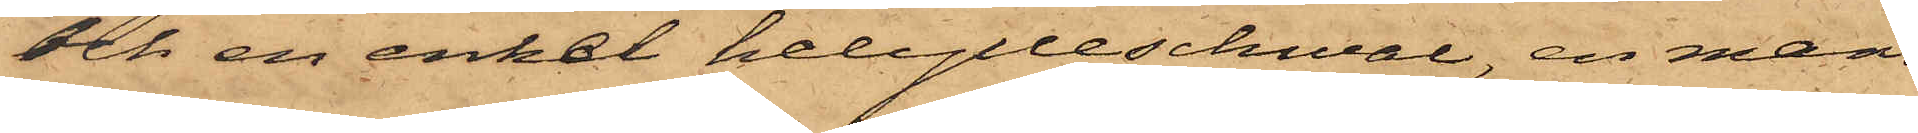och en enkel helylleschwal, en mans¬
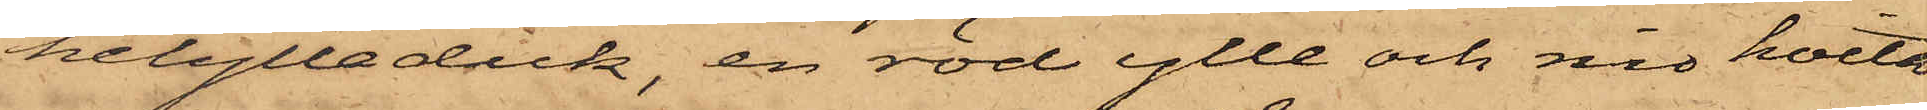helylleduk, en röd ylle och nio hvita
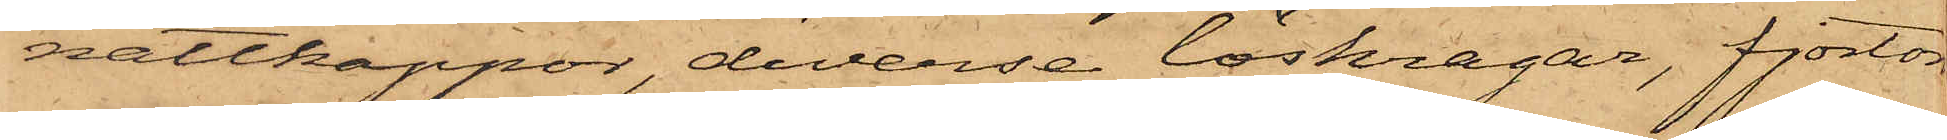nattkappor, diverse löskragar, fjorton
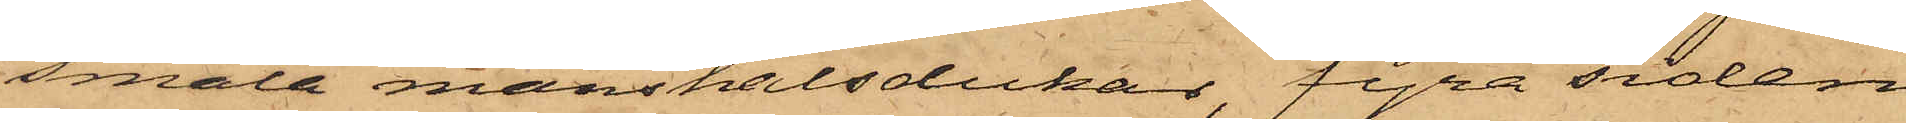smala manshalsdukar, fyra siden
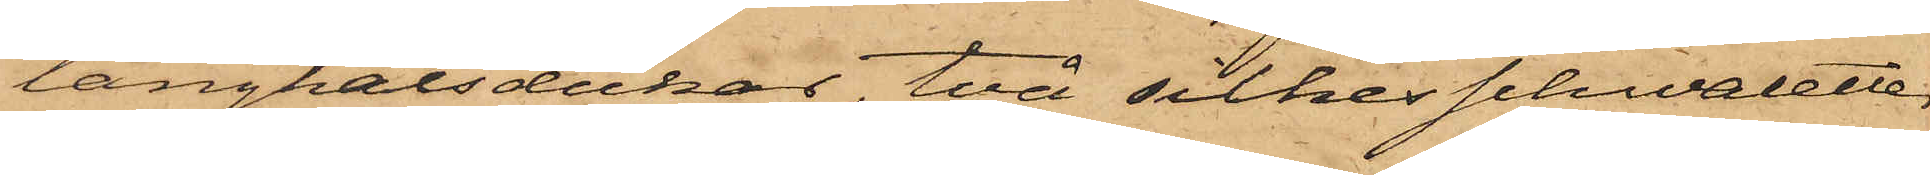långhalsdukar, två silkes schwaletter
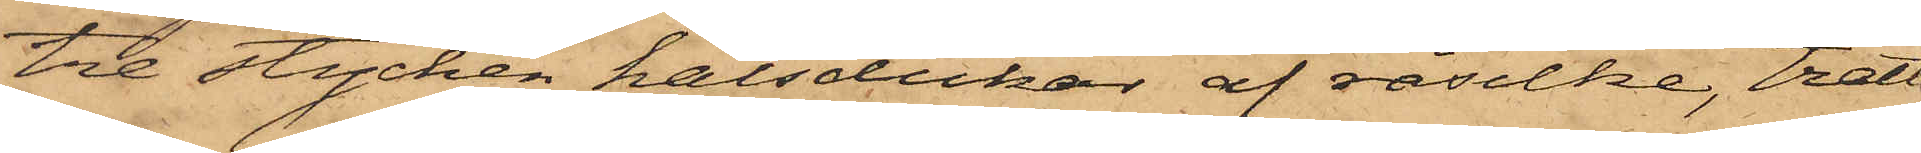tre stycken halsdukar af råsilke, tretton
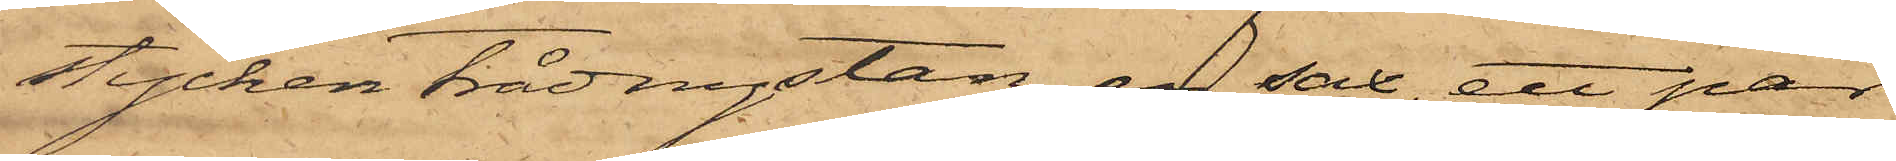stycken trådnystan, en sax, ett par
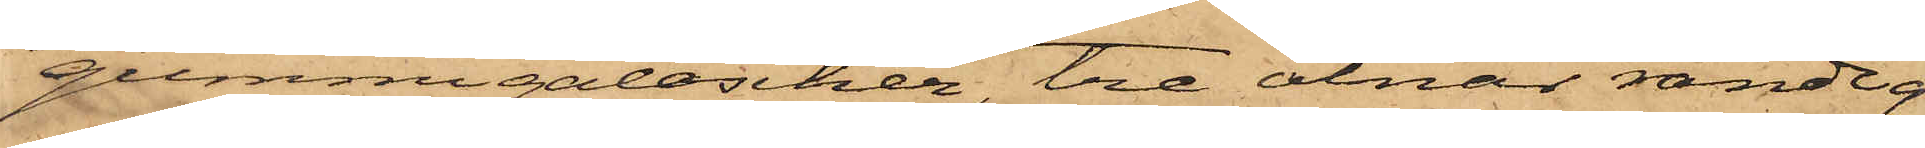gummigaloscher, tre alnar randig
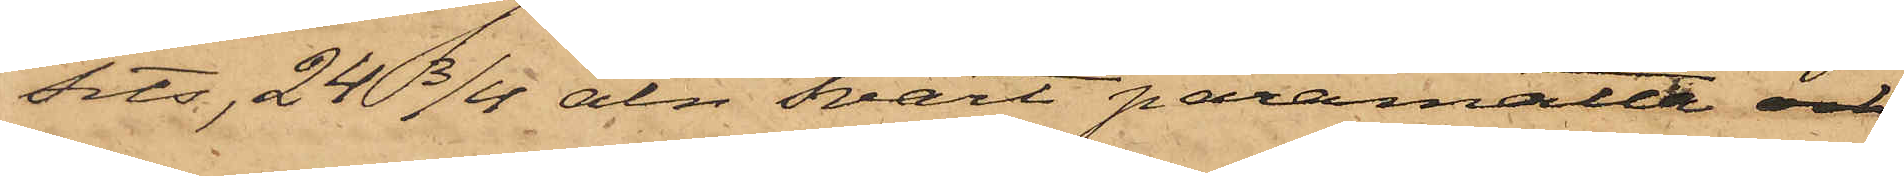sits, 24 3/4 aln svart paramatta och
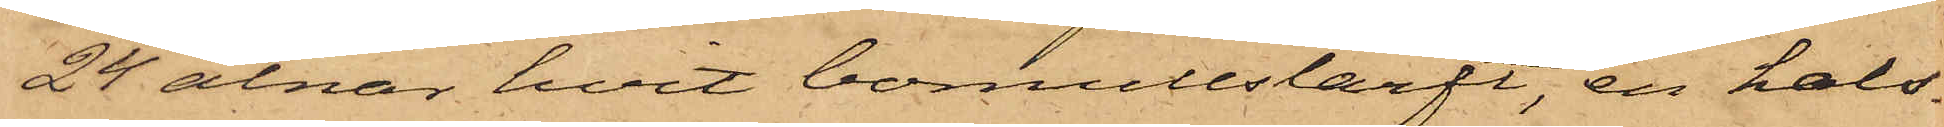24 alnar hvit bomullslärft, en hals¬
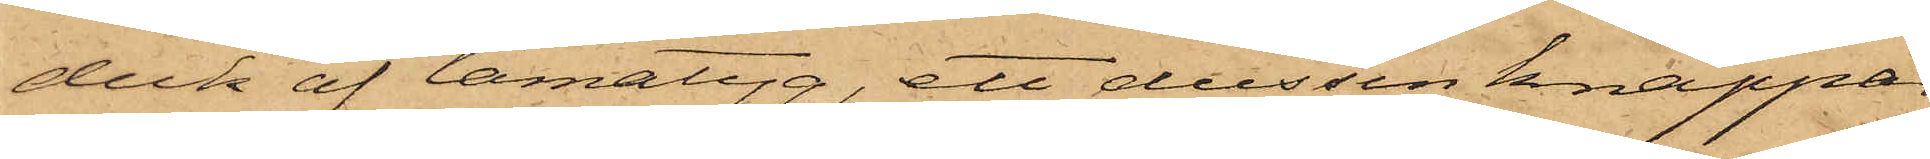duk af lamatyg, ett dussin knappar
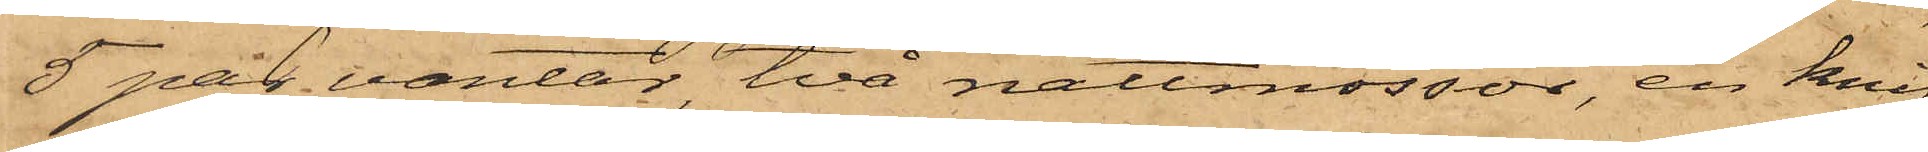5 par vantar, två nattmössor, en knif,
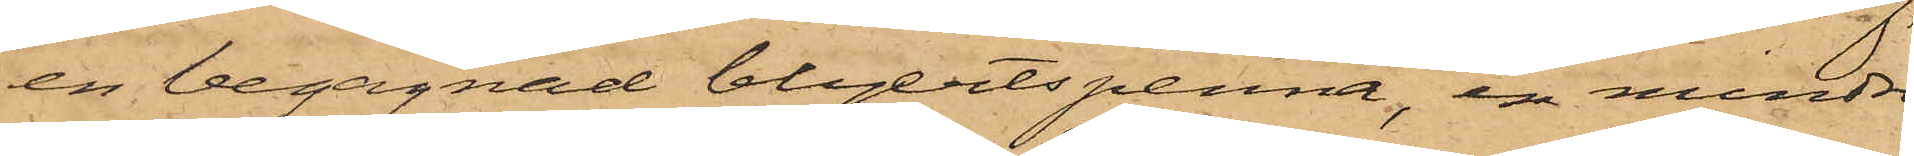en begagnad blyertspenna, en mindre
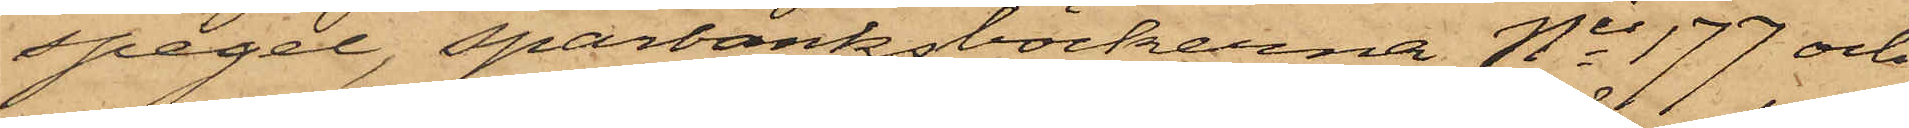spegel, sparbanksböckerna Nis 177 och
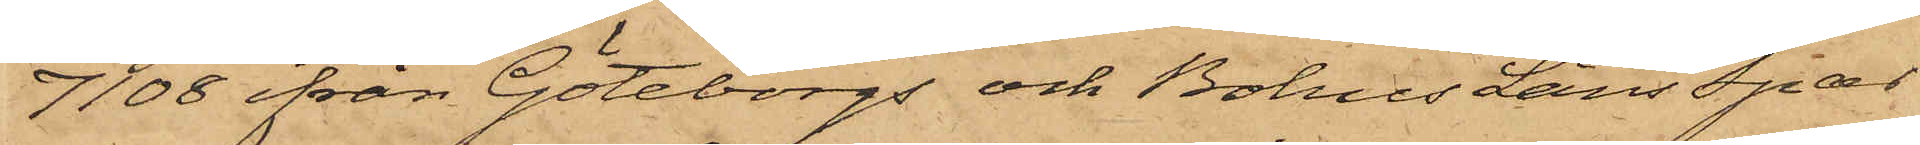7108 ifrån Göteborgs och Bohus Läns Spar¬
